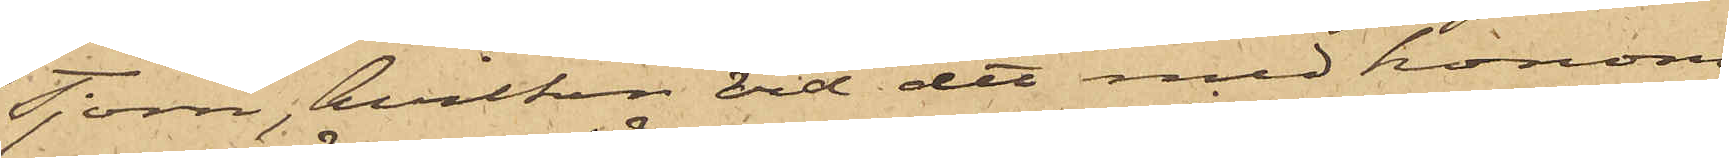Tjörn, hvilken vid det med honom
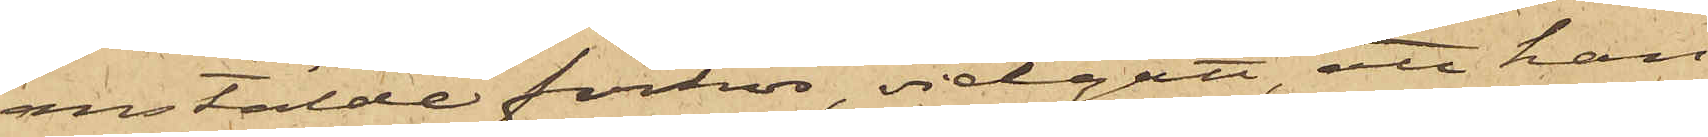anstälde förhör, vidgått, att han
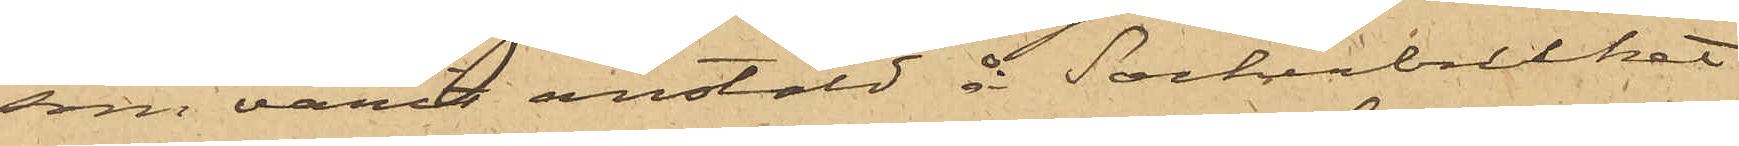som varit anstäld å Sockerbruket
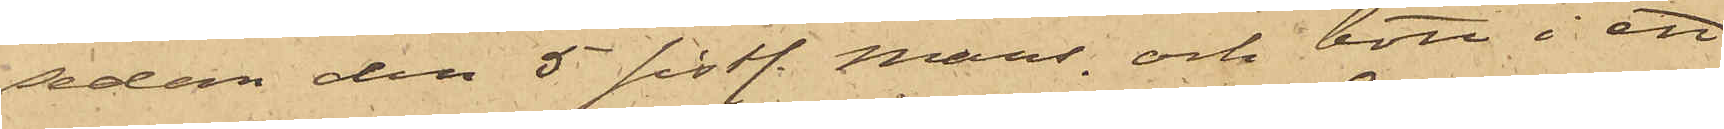sedan den 5 sistl. Mars och bott i ett
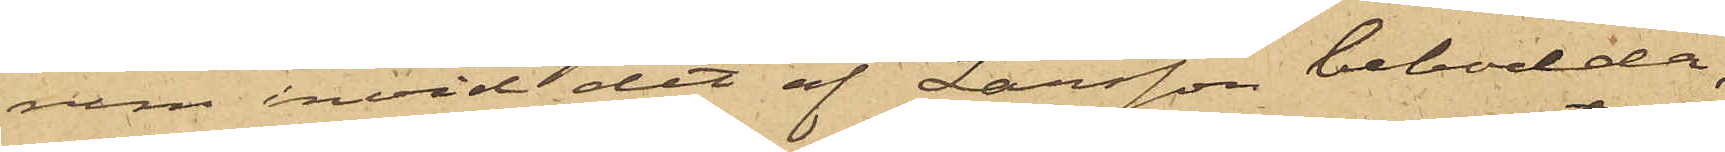rum invid det af Larsson bebodda,
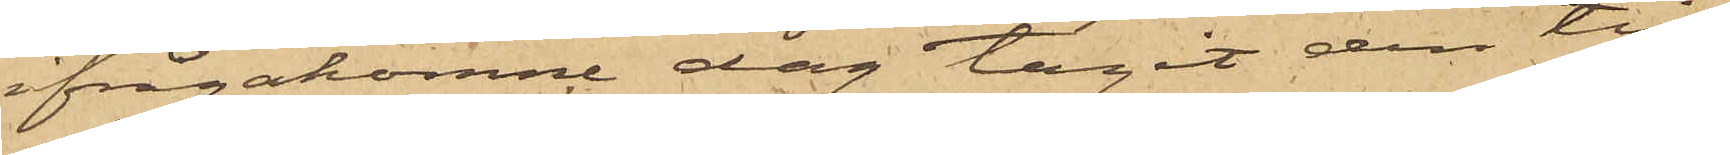ifrågakomne dag tagit den till
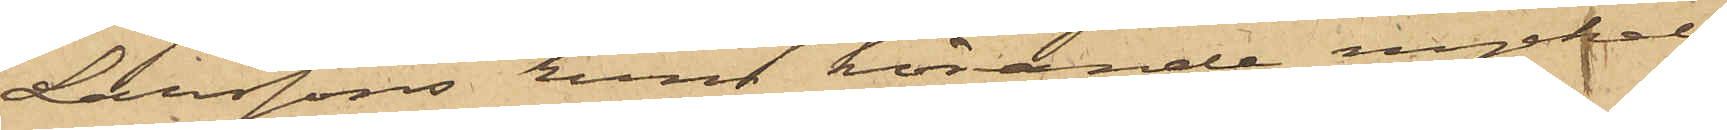Larssons rum hörande nyckel,
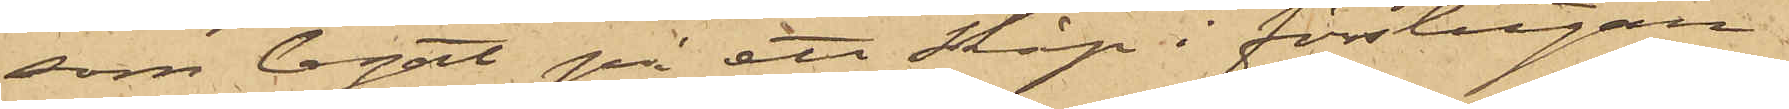som legat på ett skåp i förstugan
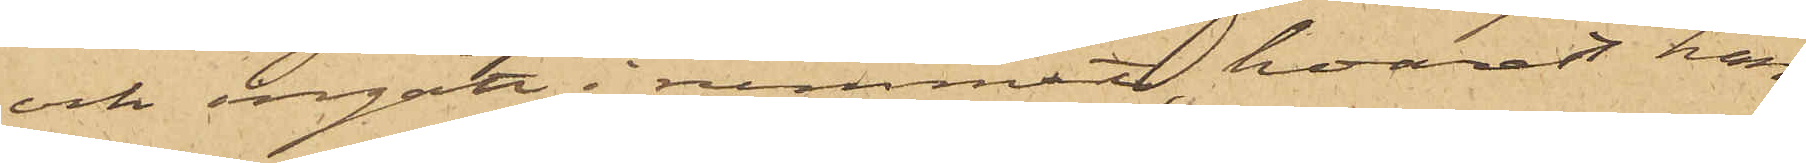och ingått i rummet, hvarest han
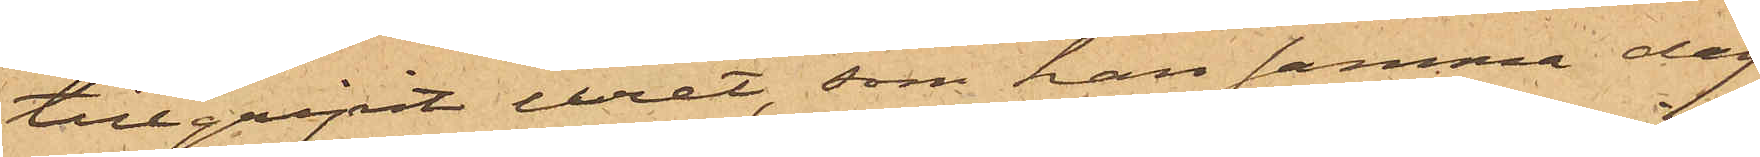tillgripit uret, som han samma dag
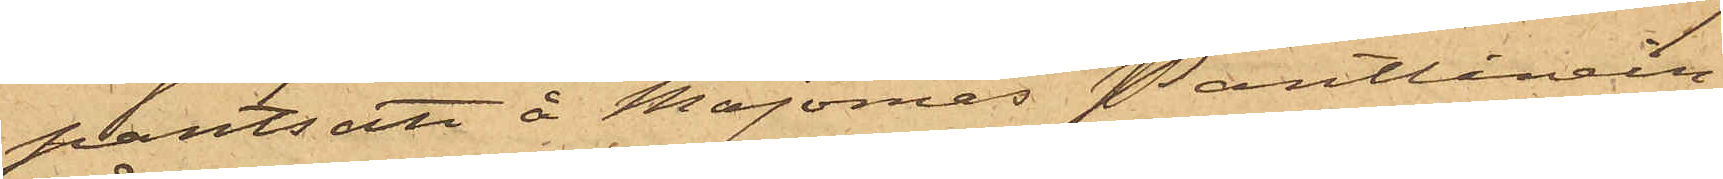pantsatt å Majornas Pantlånein¬
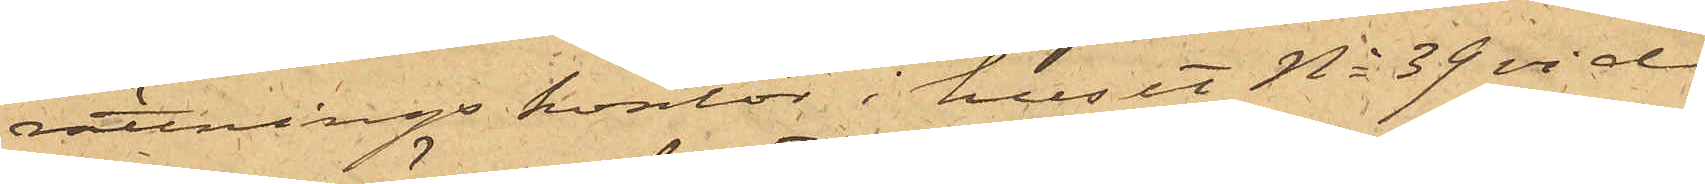rättnings kontor i huset No 39 vid
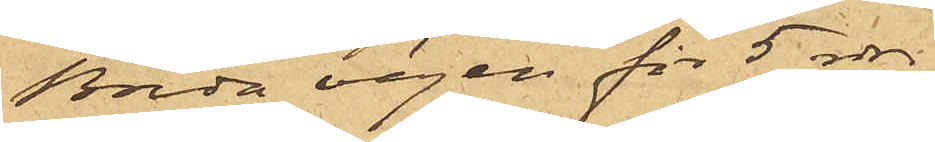Breda vägen för 5 rdr.
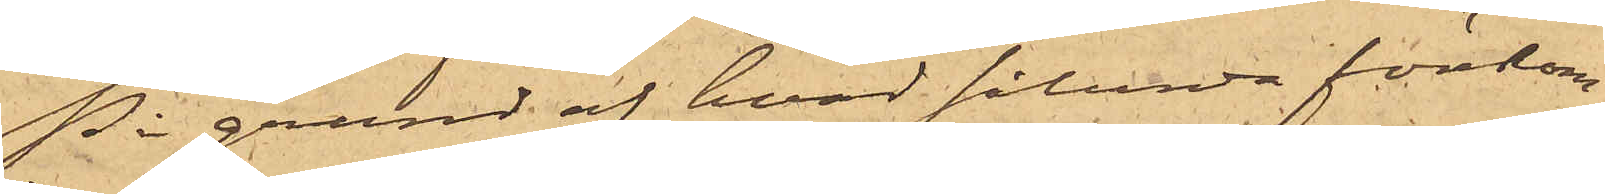På grund af hvad sålunda förekom¬
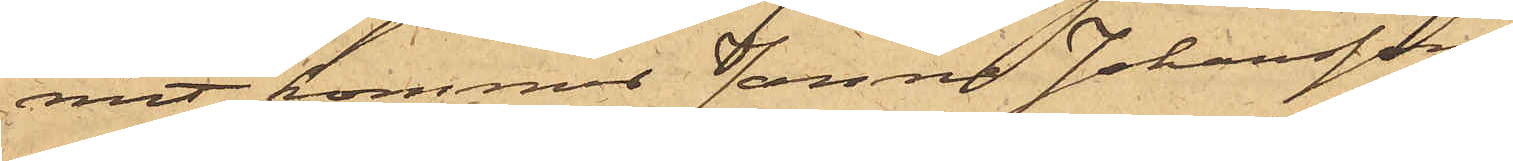mit, kommer Janne Johansson
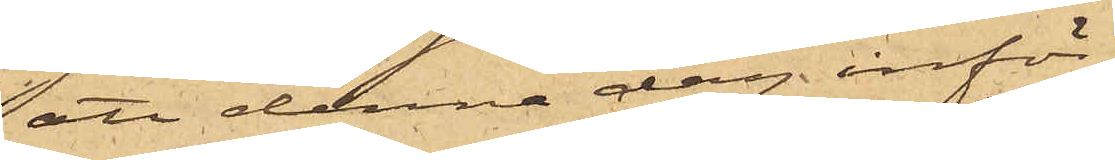att denna dag inför
